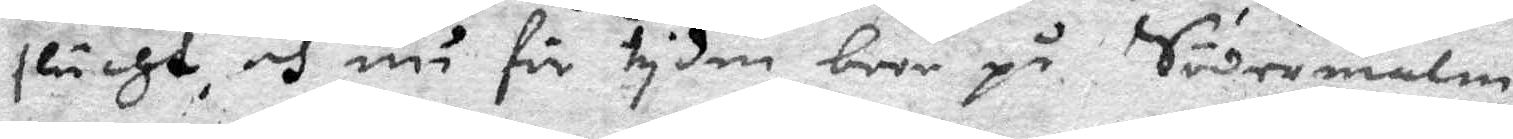slächt, och nu för tyden boor på Södermalm.
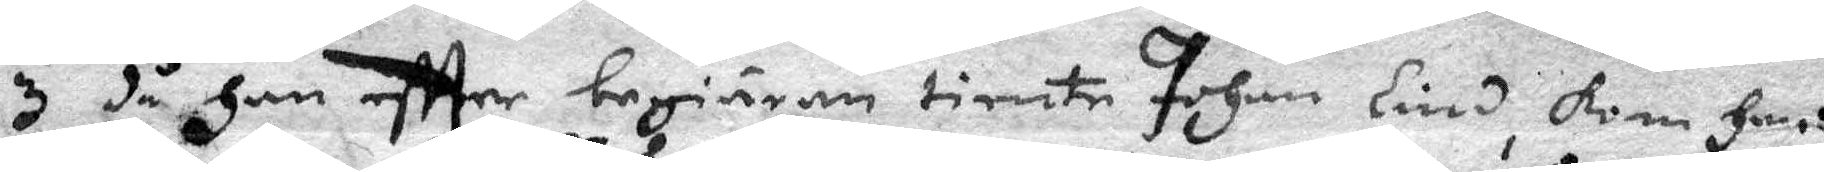3 då Han effter begiäran tiente Johan Lind, kom Hans
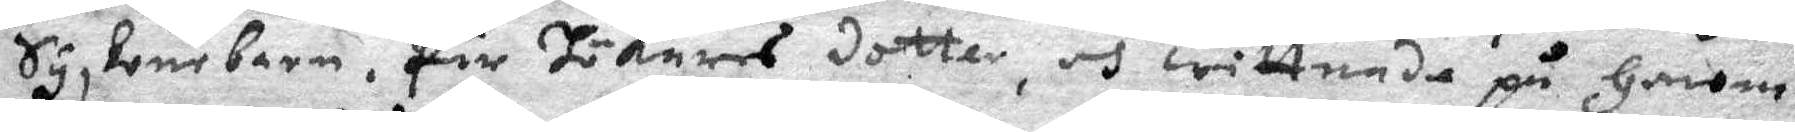Syskonbarn, Pär Hökarens dotter, och wittnade på Honom,
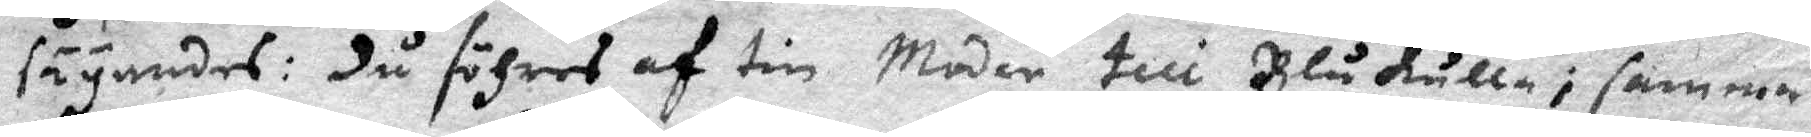säyandes: du föhres af tib Moder till Blåkulla, samma¬
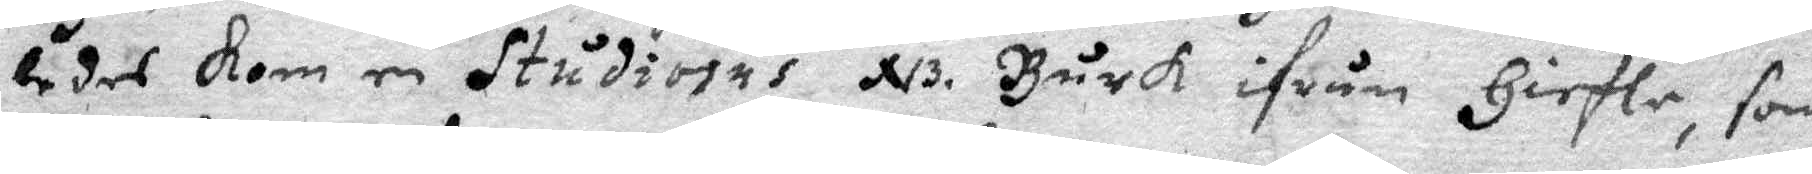ledes Kom en Studiosus NB Burk ifrån Giefle, som
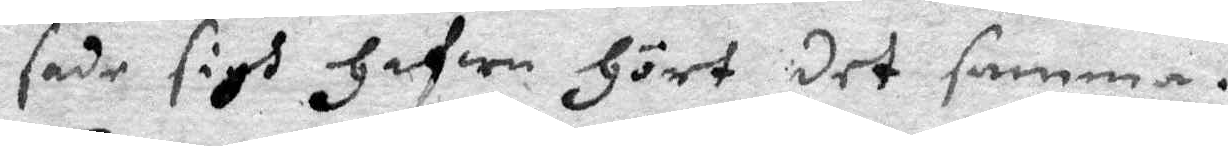sade sigh Hafwa Hört det samma.
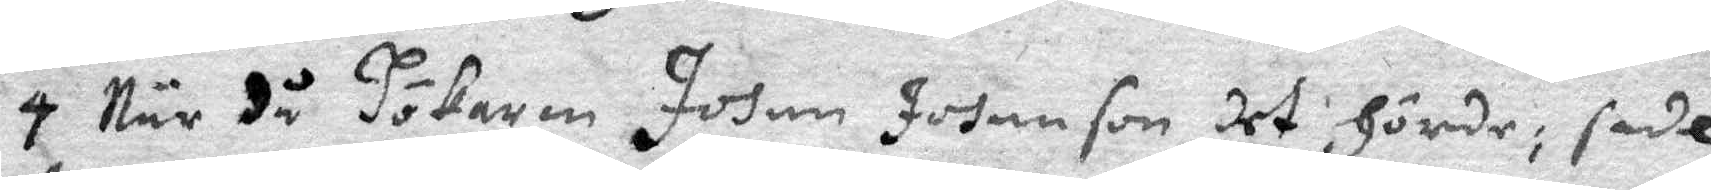4 När då Hökaren Johan Johanson, det Hörde: sade
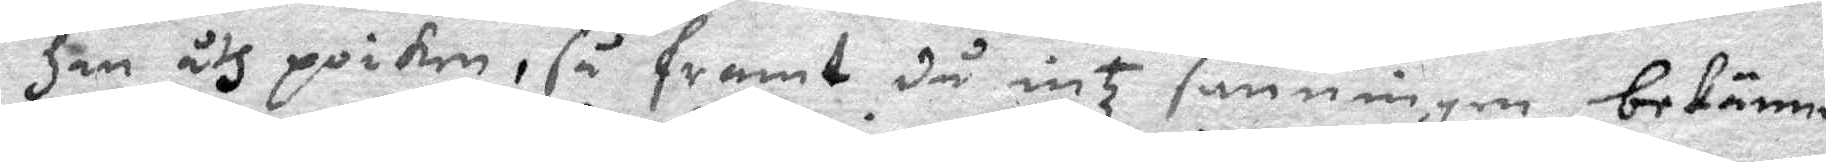Han åth pioken, så framt då intz sanningen bekänner
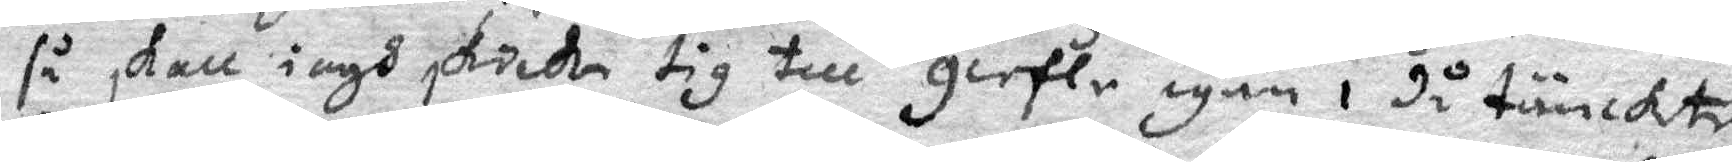så skall iagh skicka tig till Giefle igän, då tänckte
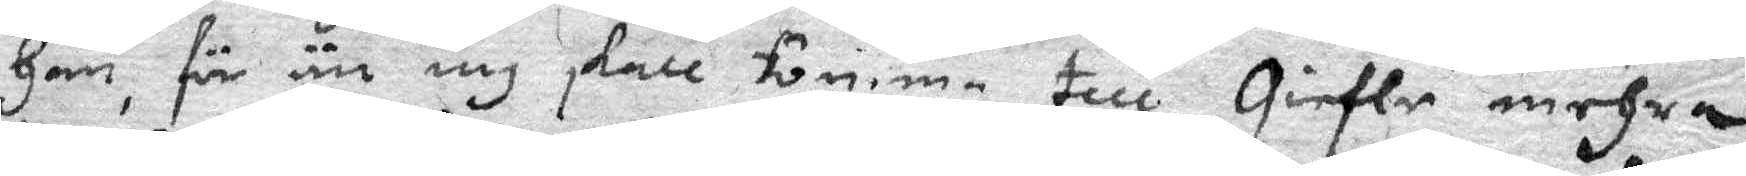Han, för än iag skall komma till Giefle mehra,
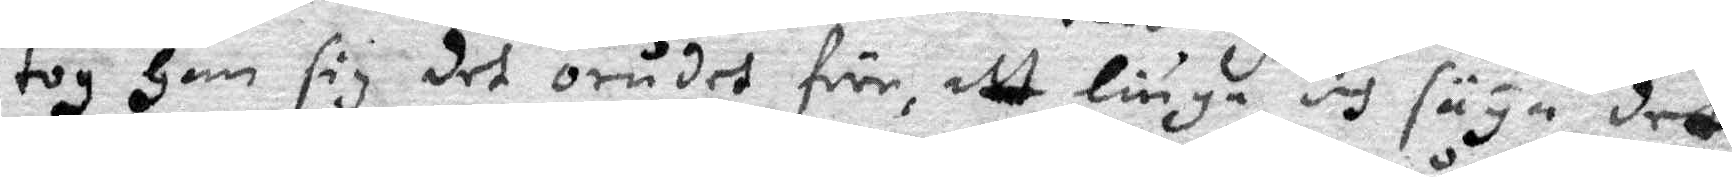tog Han sig det orådet före, att liuga och säya det
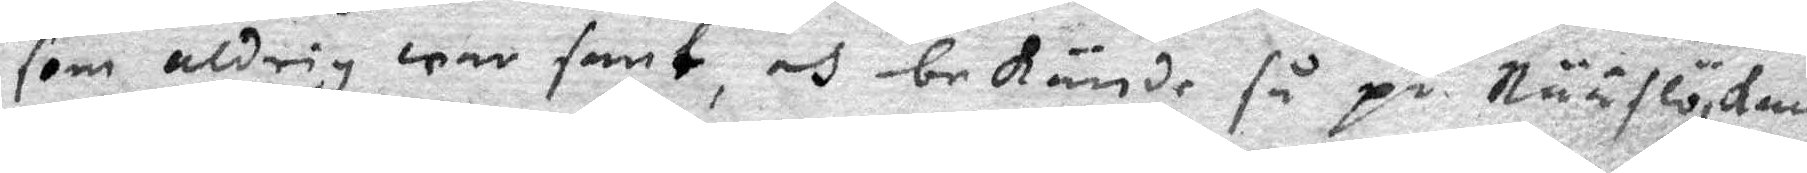som aldrig war sant, och bekände så på Nääslöskan
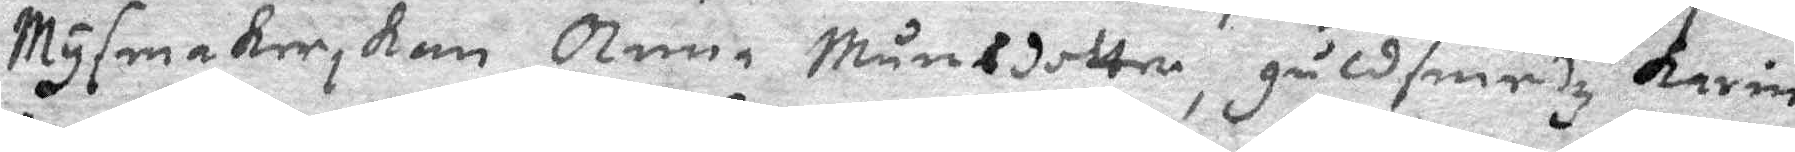Mysmakerskan Anna Månsdotter, guldsmedz Karin
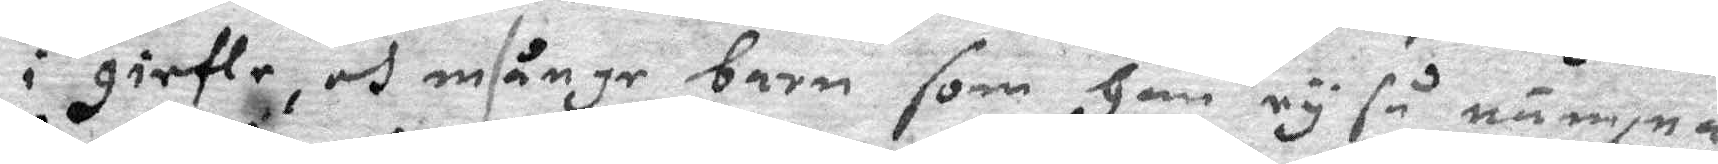i giefle, och månge barn som Han ey så nämpna
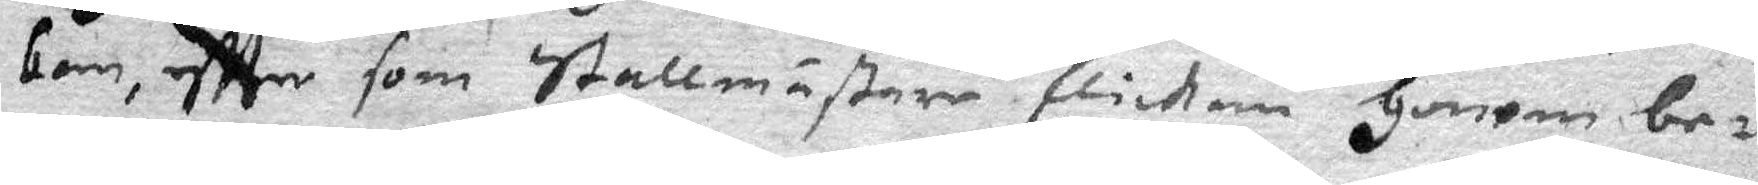kan, effter som stallmästare flickan Honom be¬
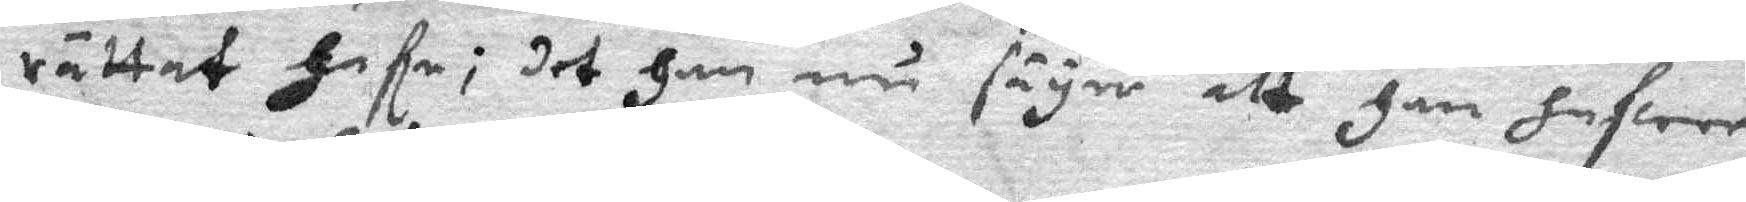rättat Hafe; det Han nu säyer alt Han Hafwer
